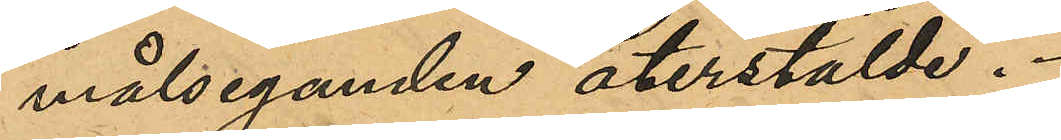målseganden återstälde.
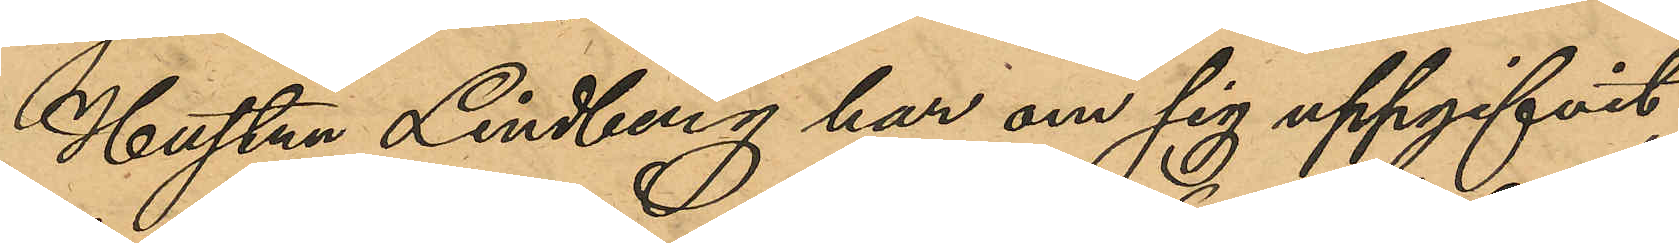Hustrun Lindberg har om sig uppgifvit,
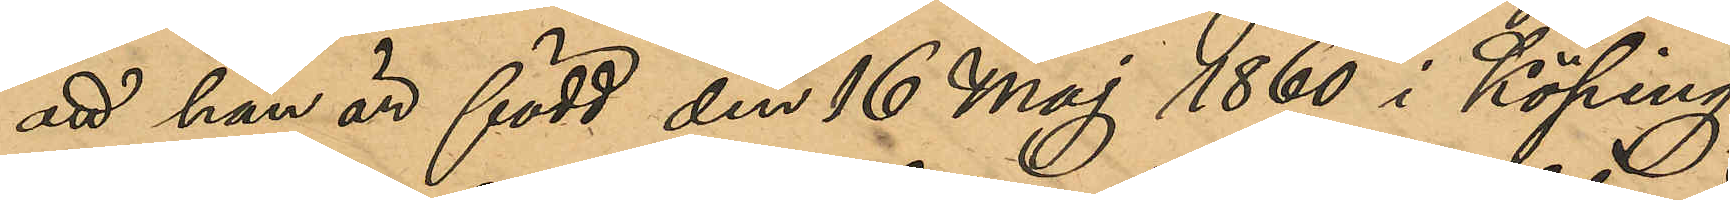att hon är född den 16 Maj 1860 i Köping,
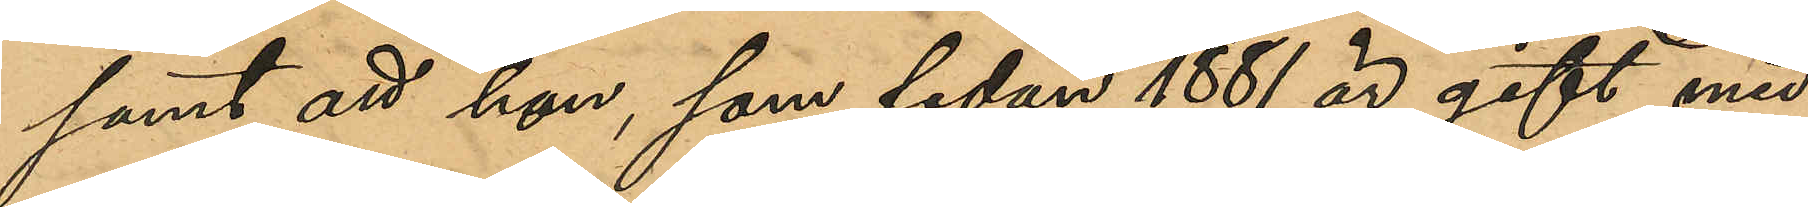samt att hon, som sedan 1881 är gift med
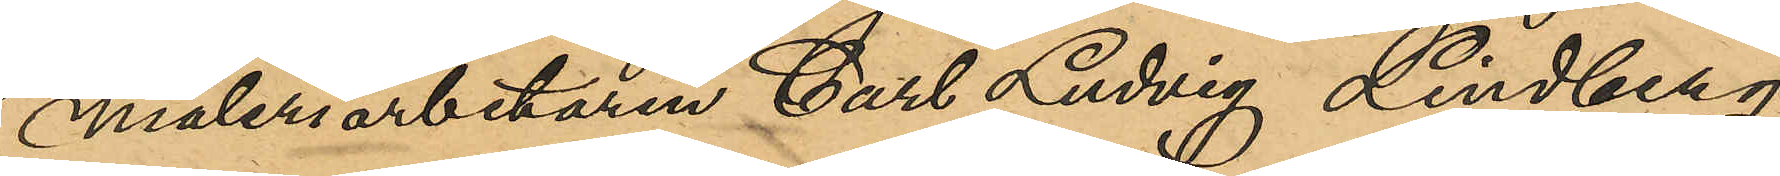måleriarbetaren Carl Ludvig Lindberg,
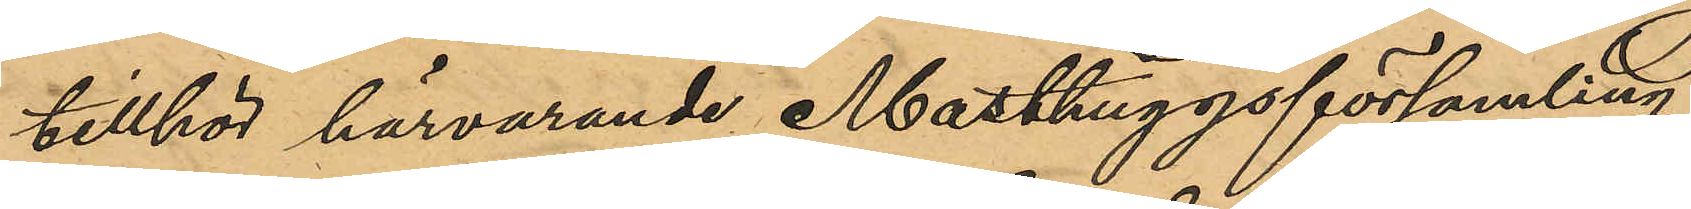tillhör härvarande Masthuggsförsamling.
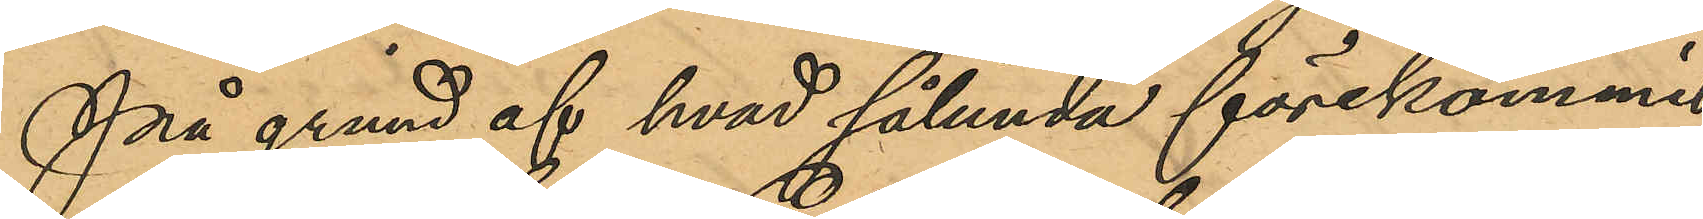På grund af hvad sålunda förekommit
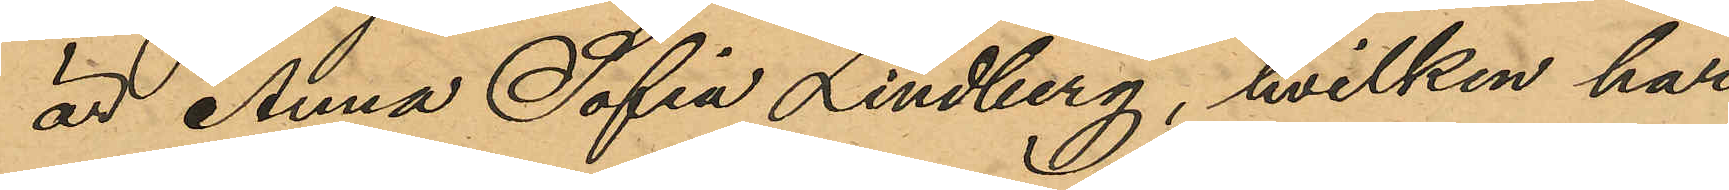är Anna Sofia Lindberg, hvilken har
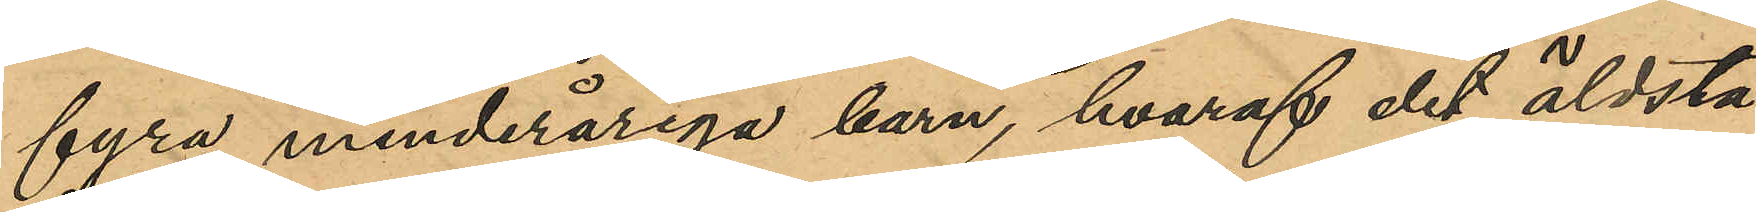fyra minderåriga barn, hvaraf det äldsta
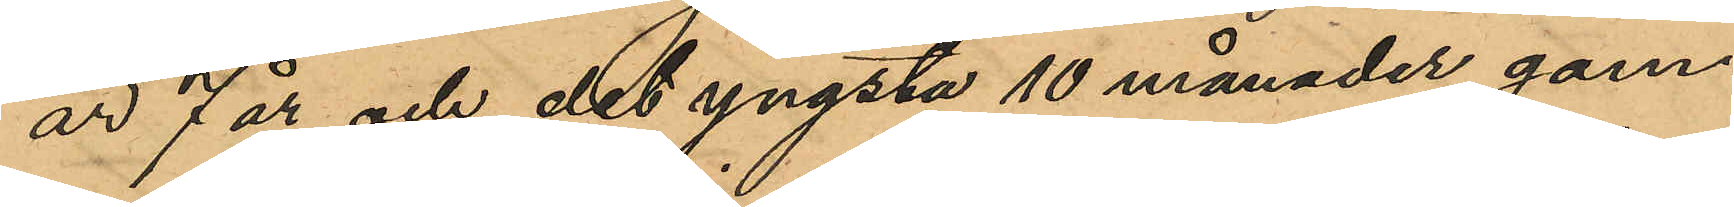är 7 år och det yngsta 10 månader gam¬
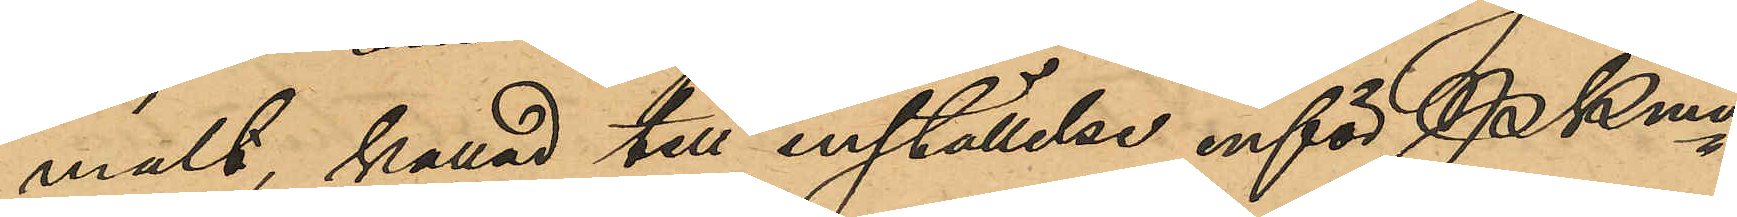malt kallad till inställelse inför Pkmn
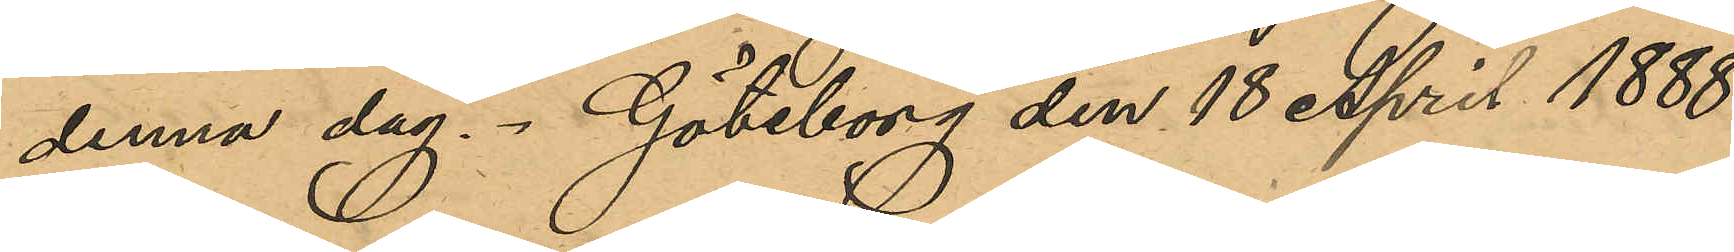denna dag. Göteborg den 18 April 1888.
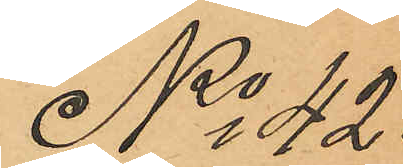No 42.
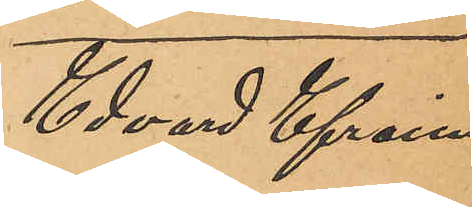Edvard Efraim
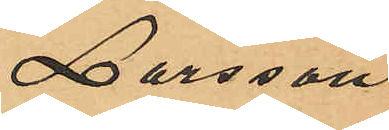Larsson.
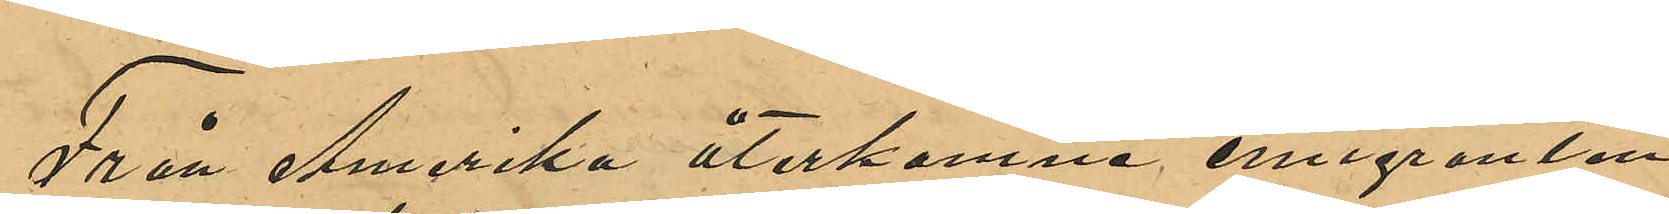Från Amerika återkomne emigranten
